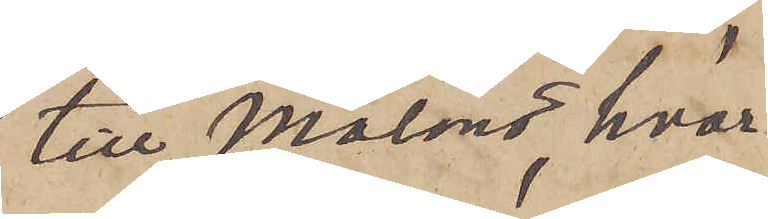till Malmö, hvar¬
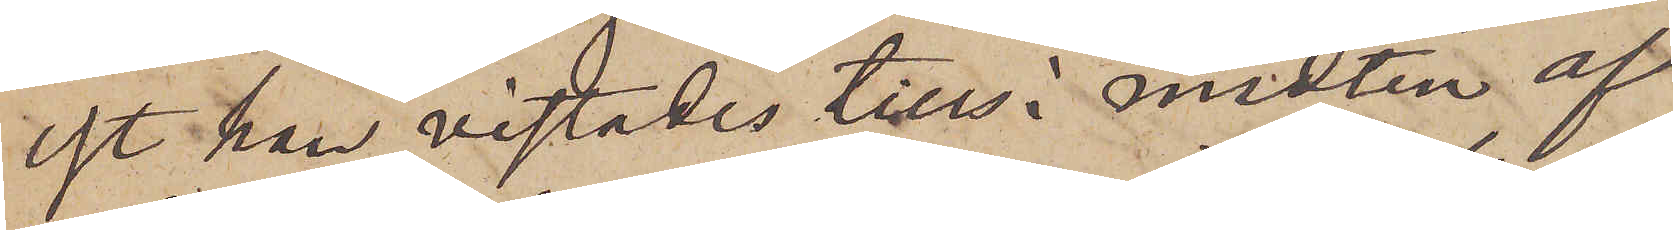est han vistades tills i midten af
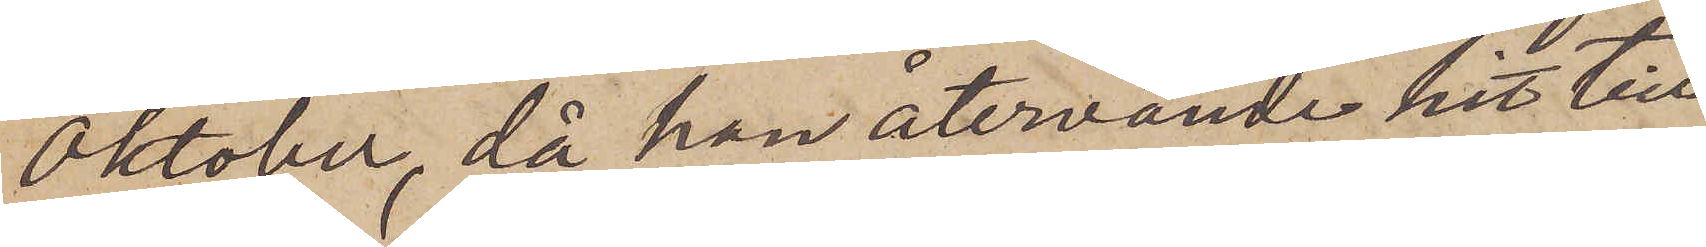Oktober, då han återvände hit till
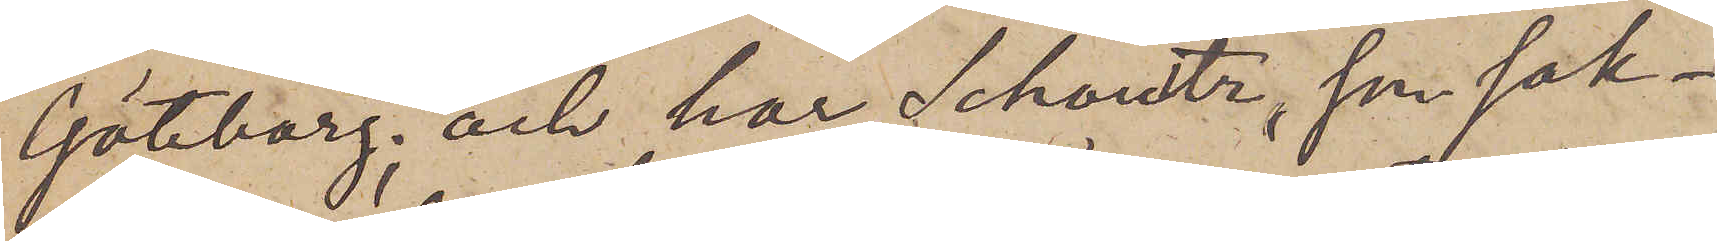Göteborg; och har Schoultz, som sak¬
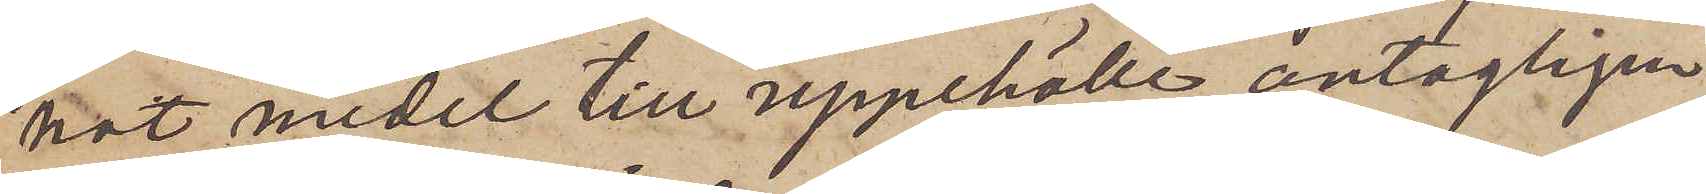nat medel till uppehälle, antagligen
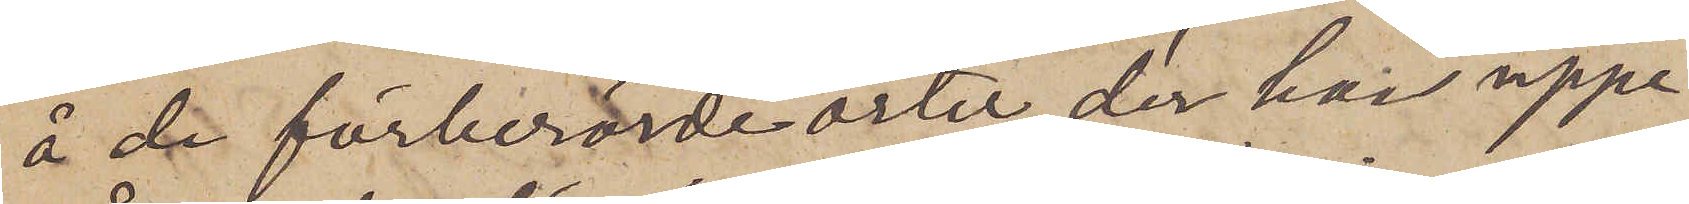å de förberörde orter, der han uppe¬
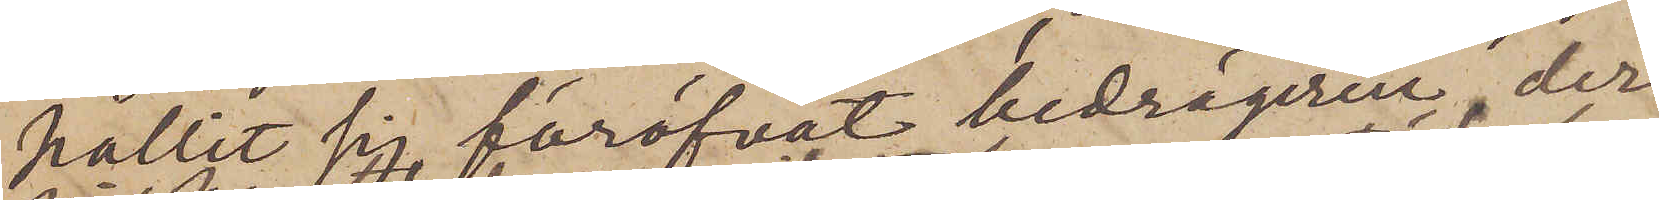hållit sig, föröfvat bedrägerier, der¬
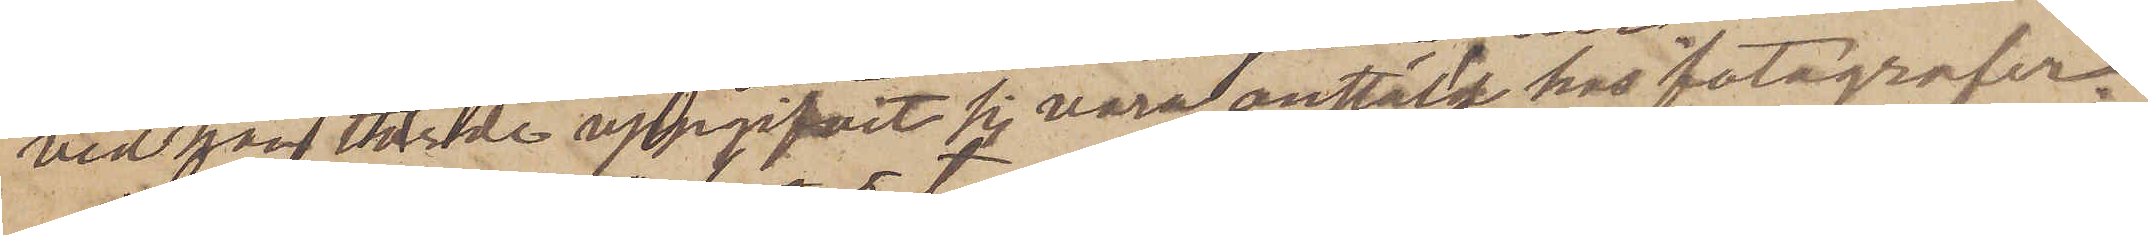vid han torde uppgifvit sig vara anstäld hos fotografer.
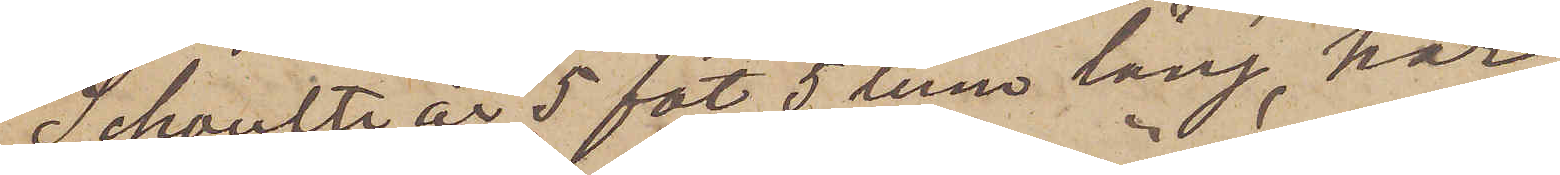Schoultz är 5 fot 5 tum lång, har
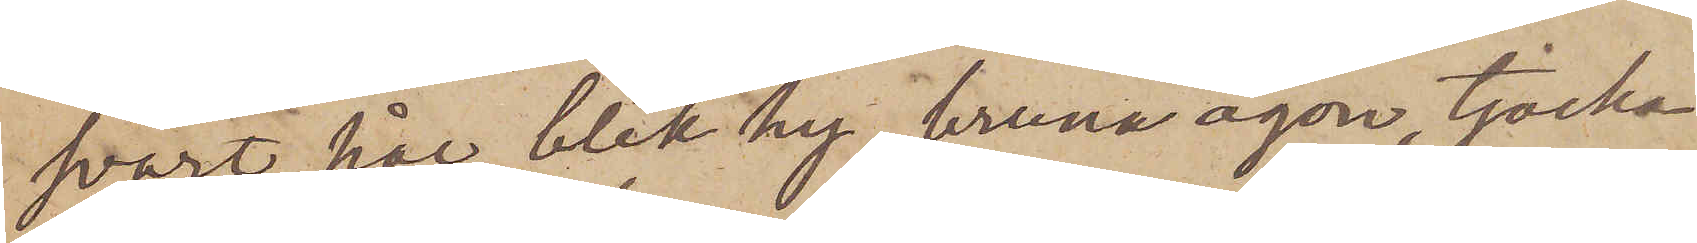svart hår, blek hy, bruna ögon, tjocka
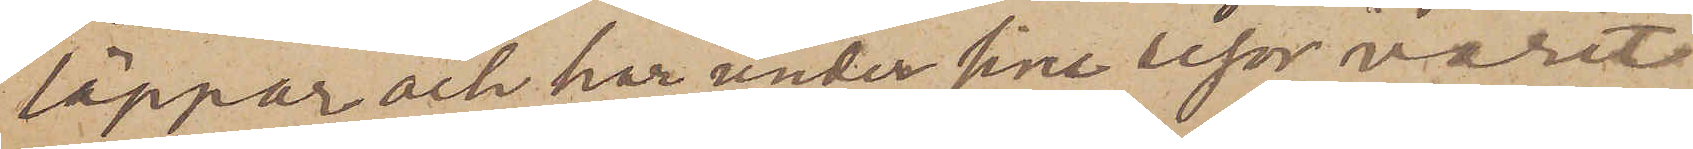läppar och har under sina resor varit
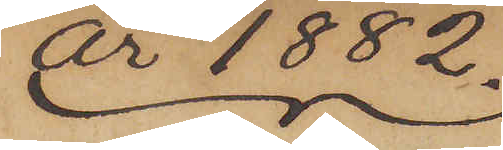År 1882.
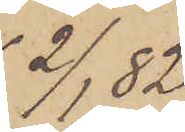2/1  82.
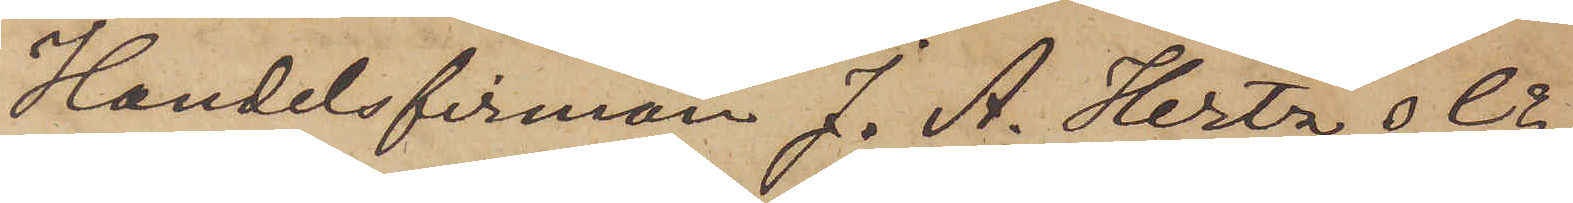Handelsfirman J. A. Hertz & Co
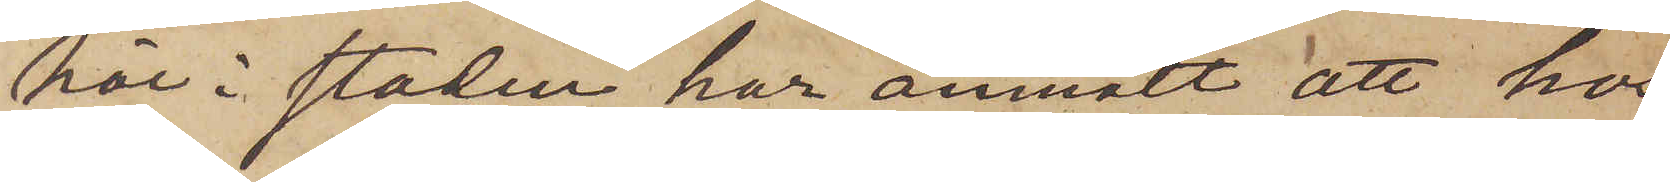här i staden har anmält att hos
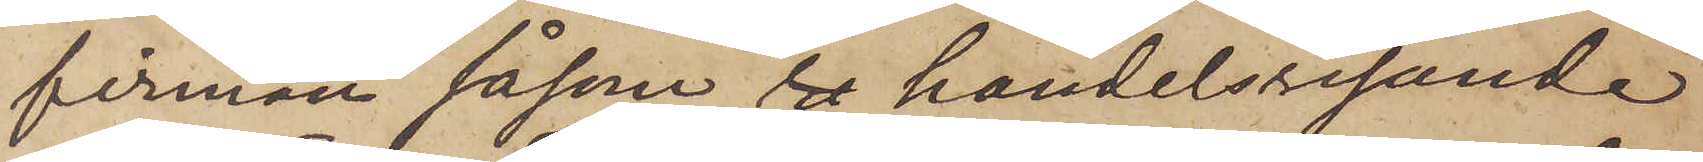firman såsom re handelsresande
